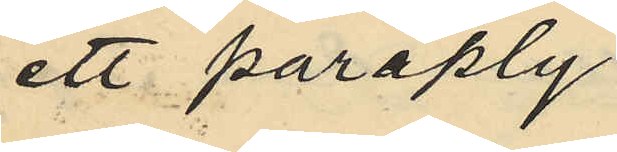ett paraply
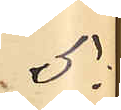5
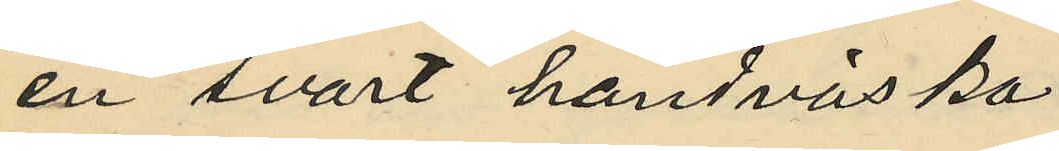en svart handväska
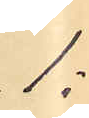1:
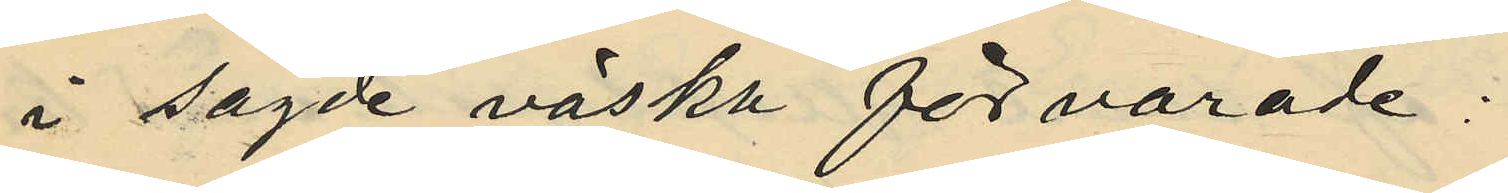i sagde väska förvarade:
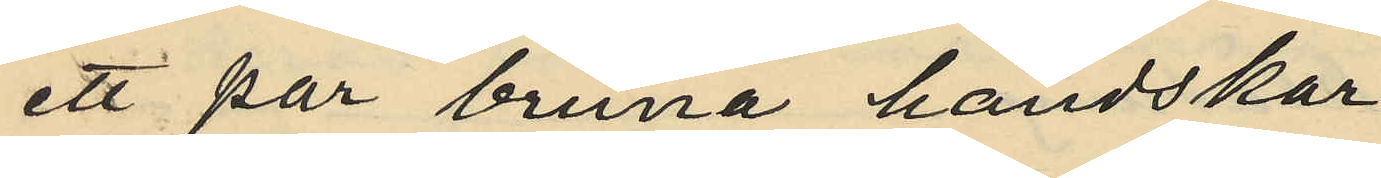ett par bruna handskar
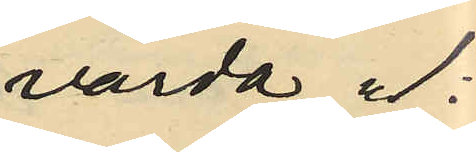värda " 1:
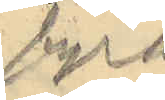fyra
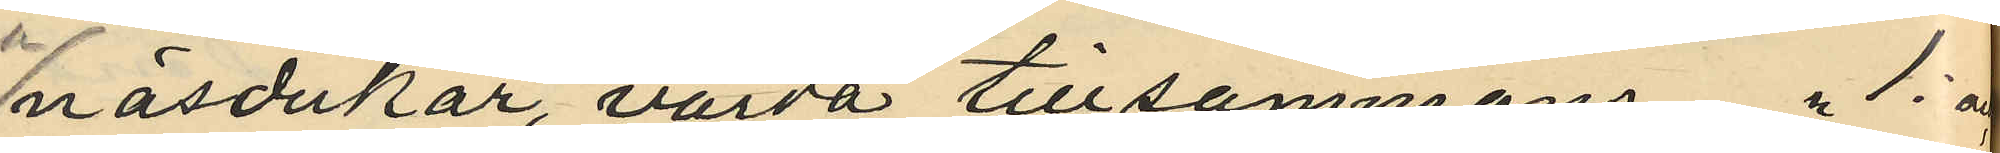näsdukar, värda tillsammans " 1: och
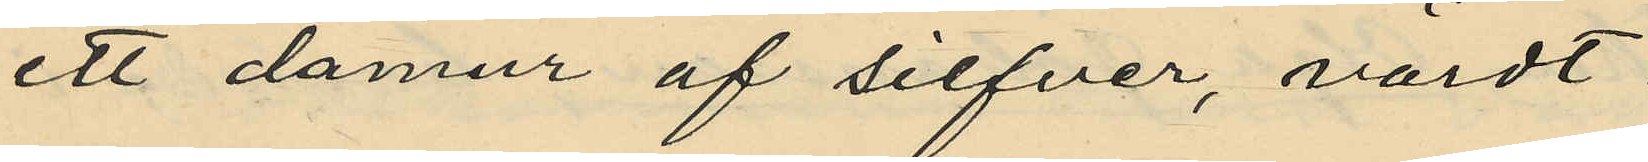ett damur af silfver, värdt
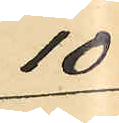10
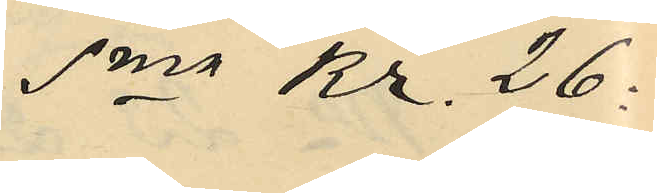Sma Kr. 26:
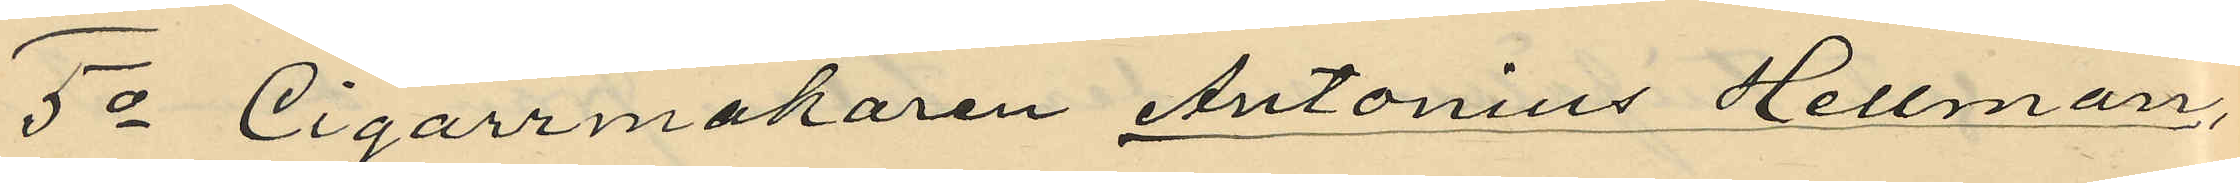5o Cigarrmakaren Antonius Hellman,
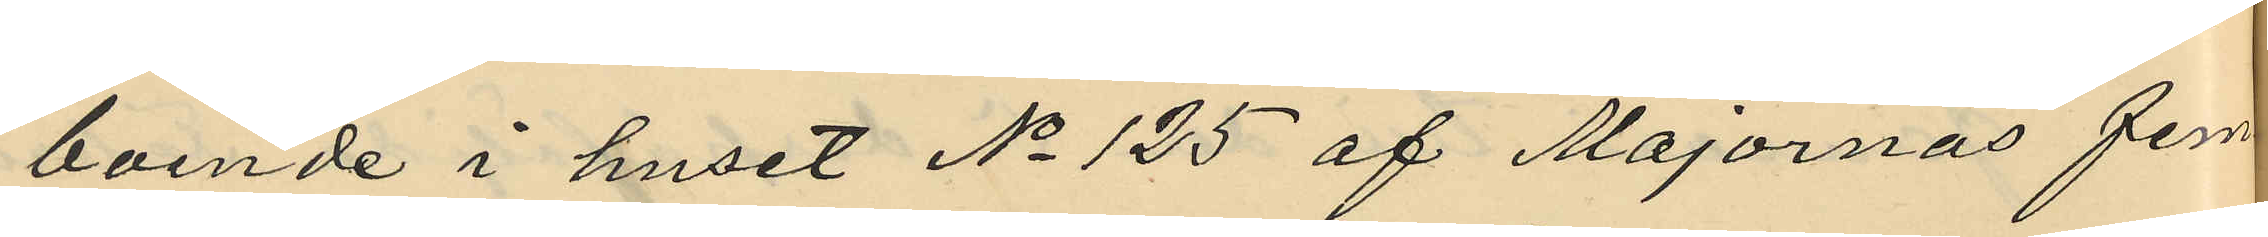boende i huset No 125 af Majornas förs¬
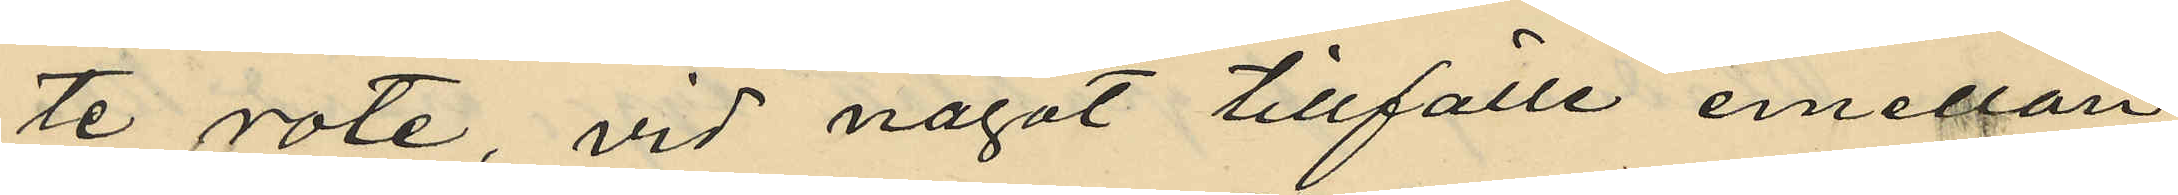te rote, vid något tillfälle emellan
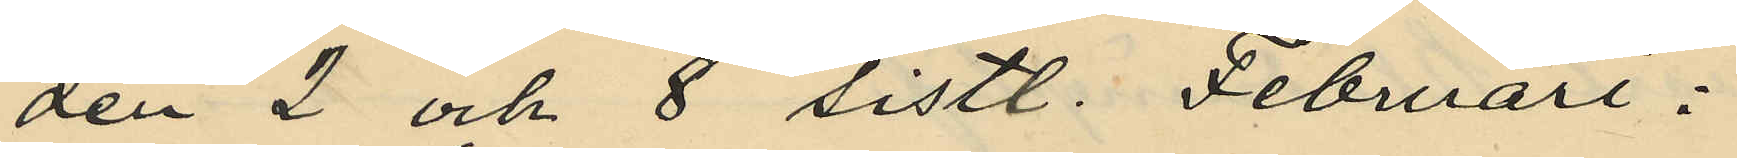den 2 och 8 sistl. Februari i
